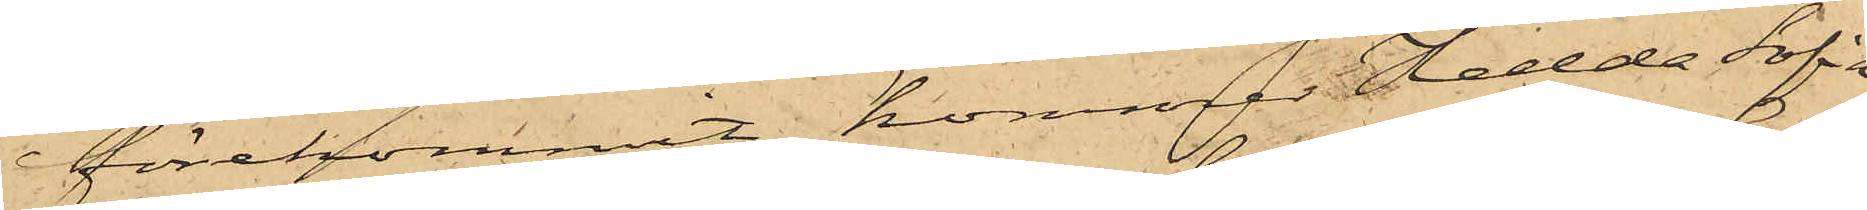förekommit, kommer Hedda Sofia
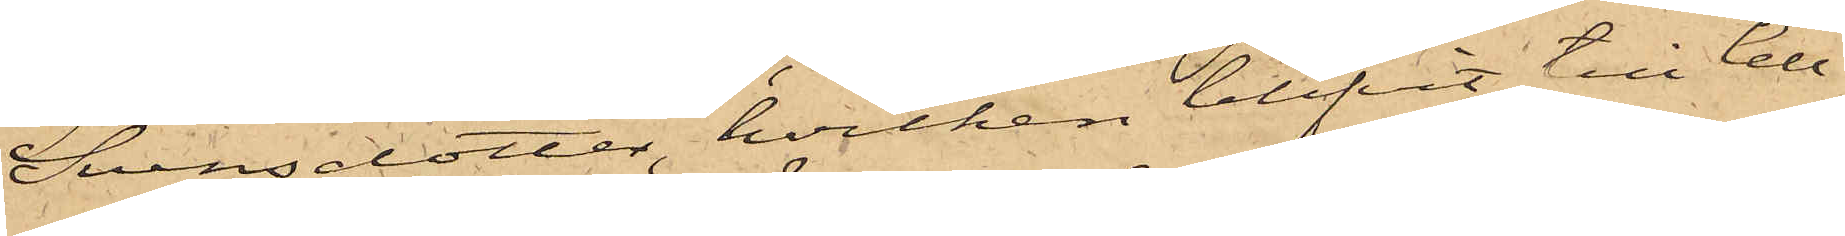Svensdotter, hvilken blifvit till Cell¬
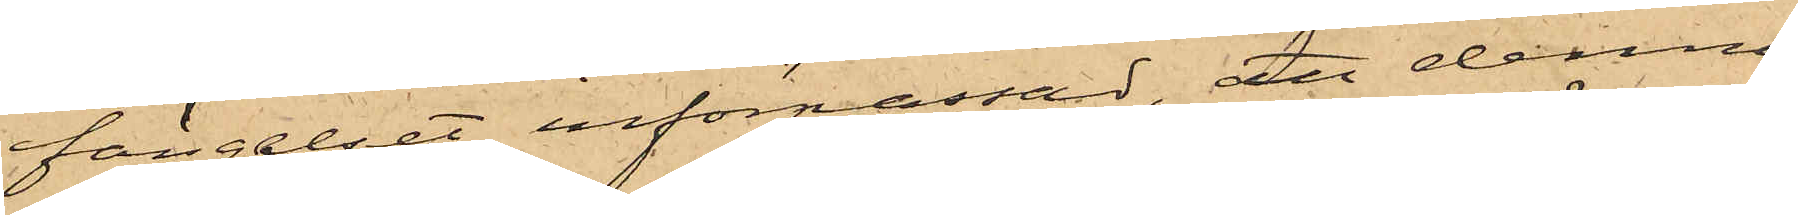fängelset införpassad, att denna
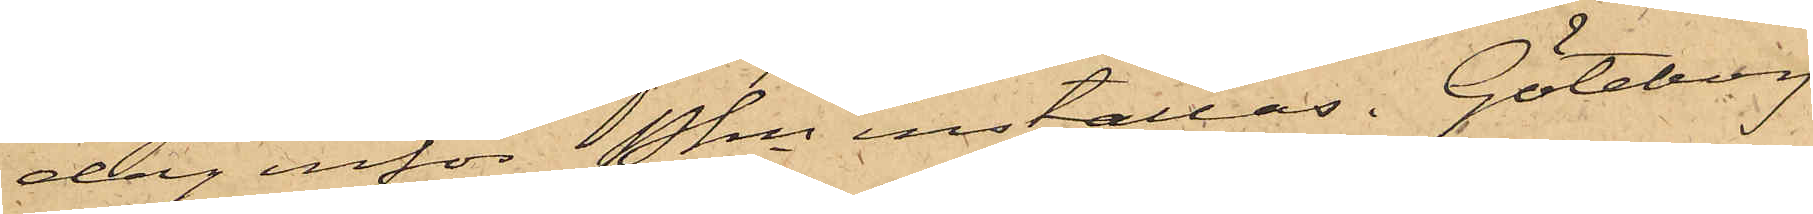dag inför Pkn inställas. Göteborg
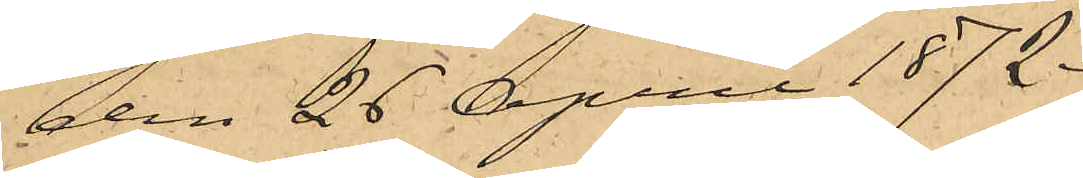den 26 April 1872.
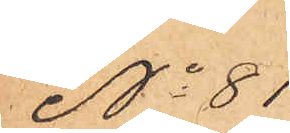No 81
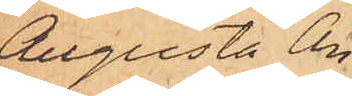Augusta An¬
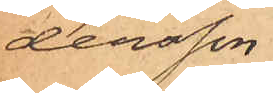dersson.
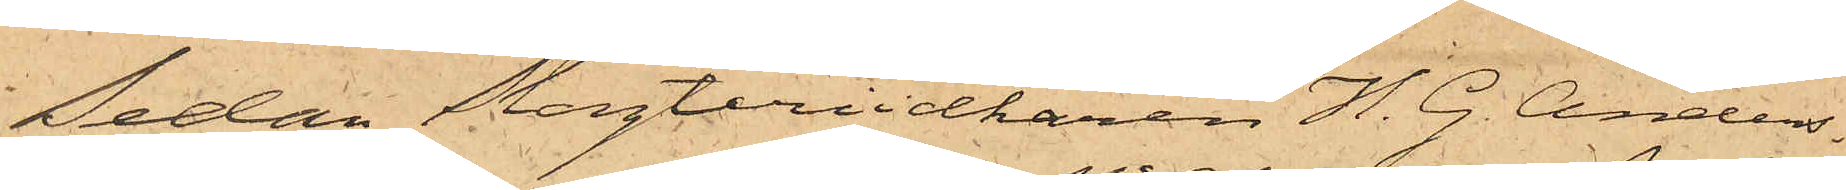Sedan Slagteriidkaren H. G. Anders¬
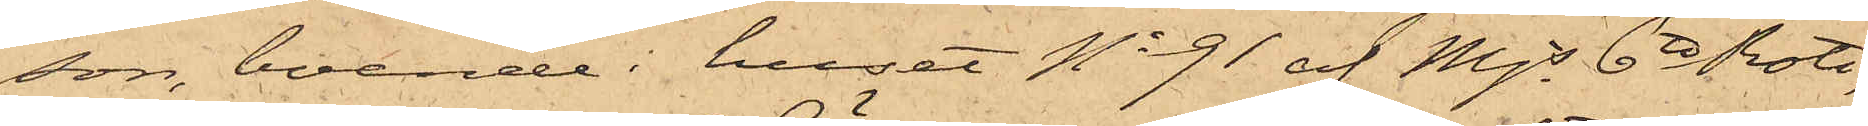son, boende i huset No 91 af Mjs 6te Rote,
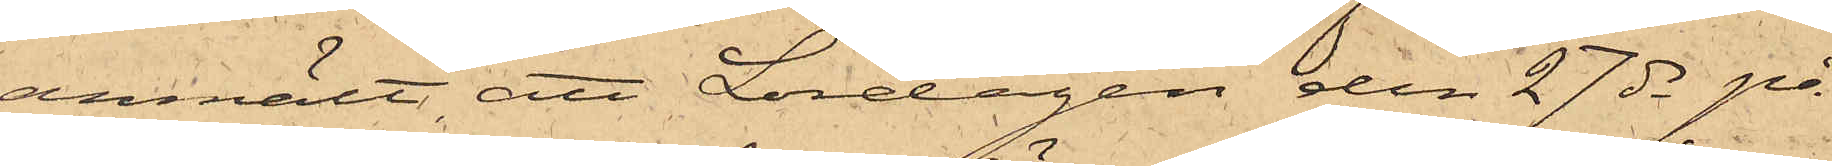anmält, att Lördagen den 27 ds på
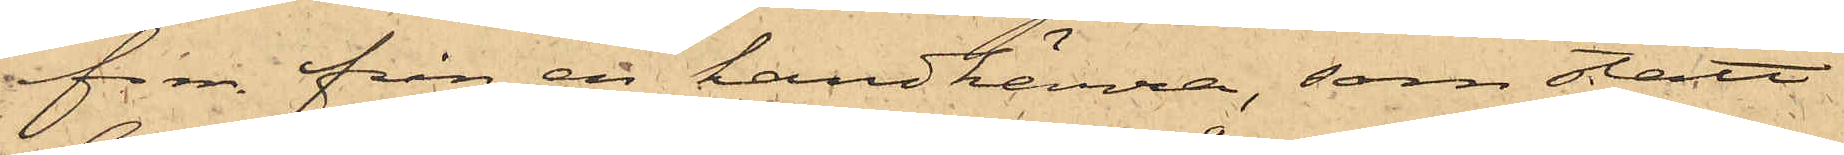f.m. från en handkärra, som stått
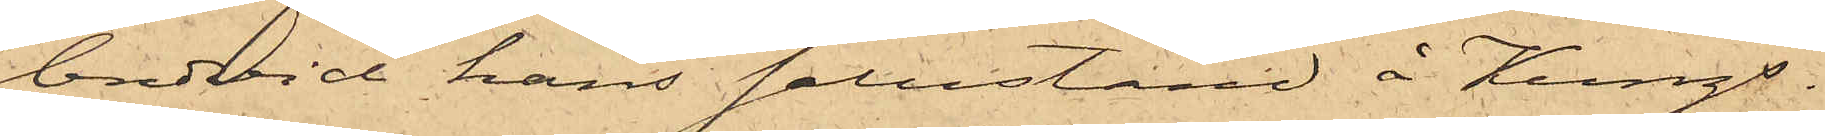bredvid hans salustånd å Kungs¬
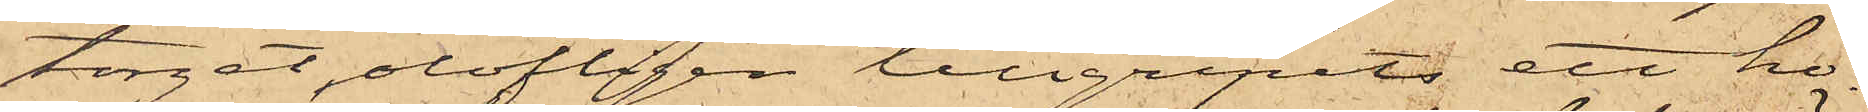torget, olofligen tillgripits ett ho¬
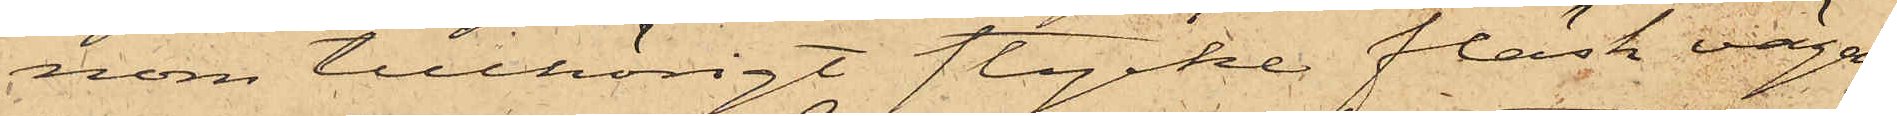nom tillhörigt stycke fläsk vägan¬
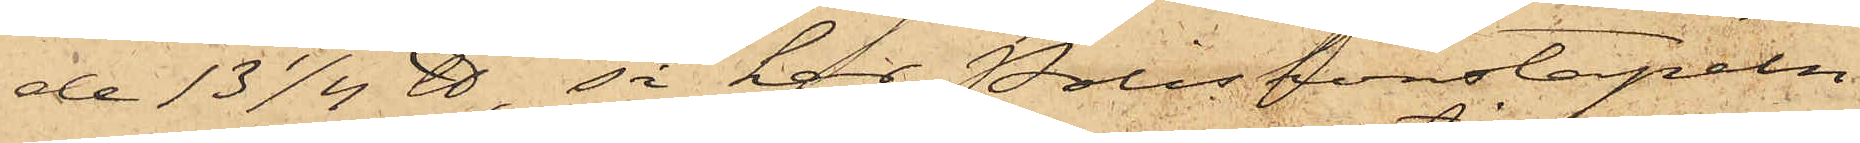de 13 1/4 ℔, så har Poliskonstapeln
